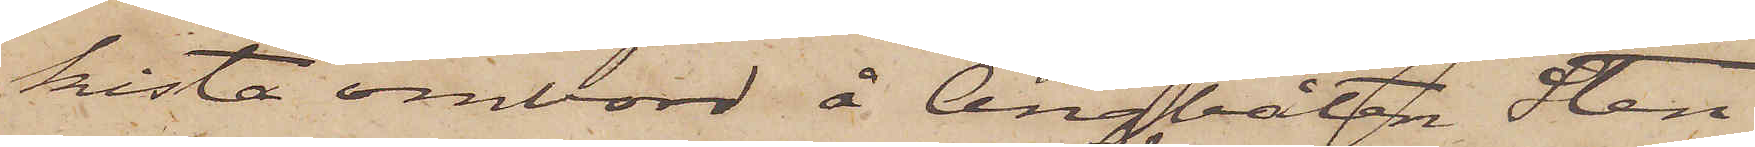kista ombord å ångbåten Sten
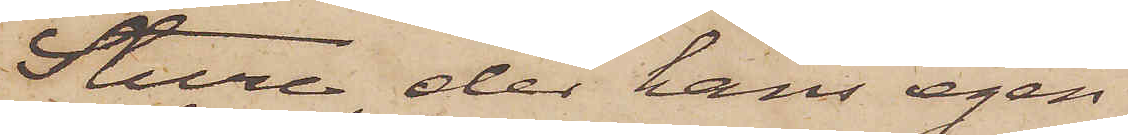Sture, der hans egen
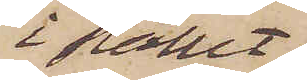i stället
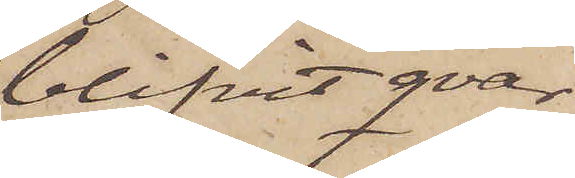blifvit qvar¬
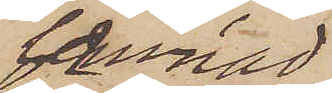lemnad.
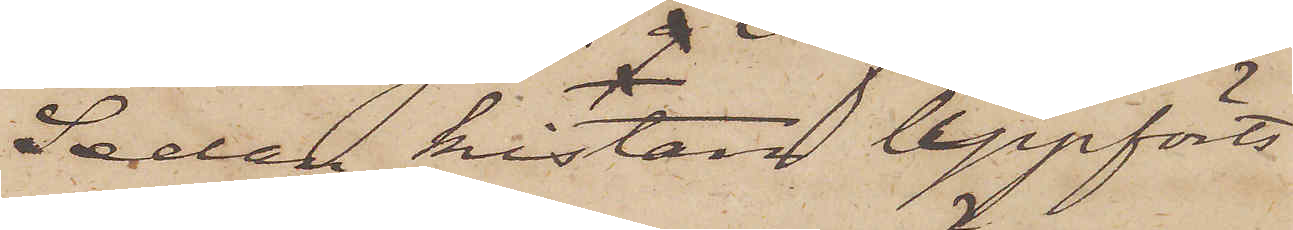Sedan kistan uppförts
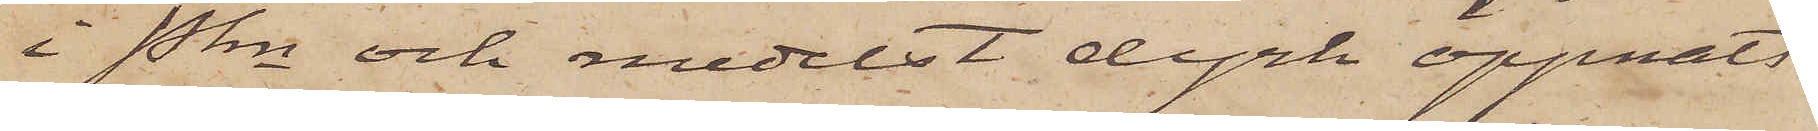i Pkn och medelst dyrk öppnats
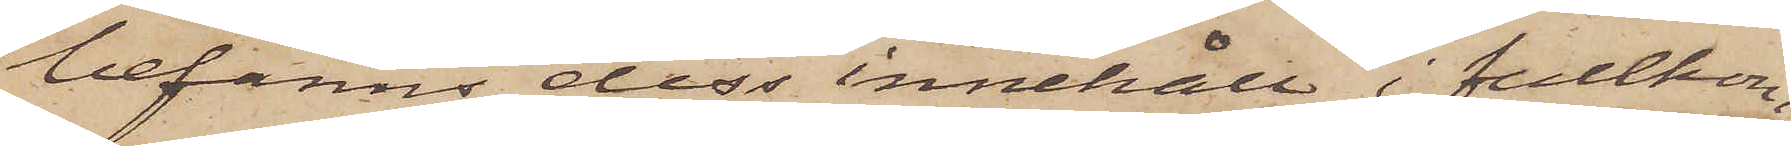befanns dess innehåll i fullkom¬
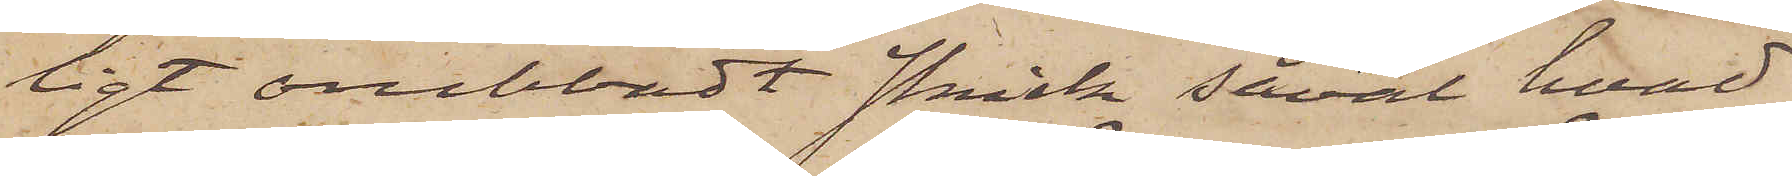ligt orubbadt skick såväl hvad
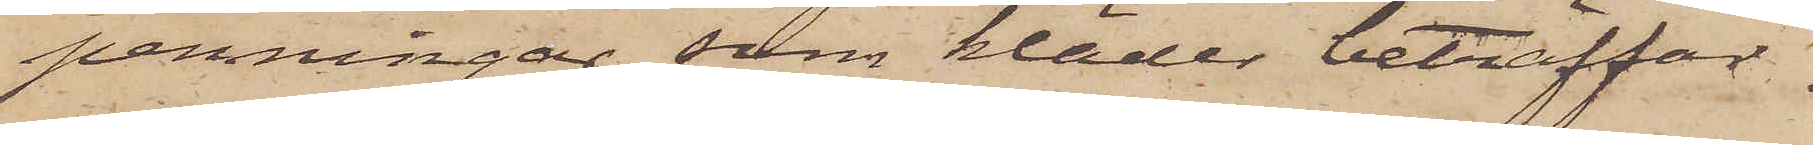penningar som kläder beträffar.
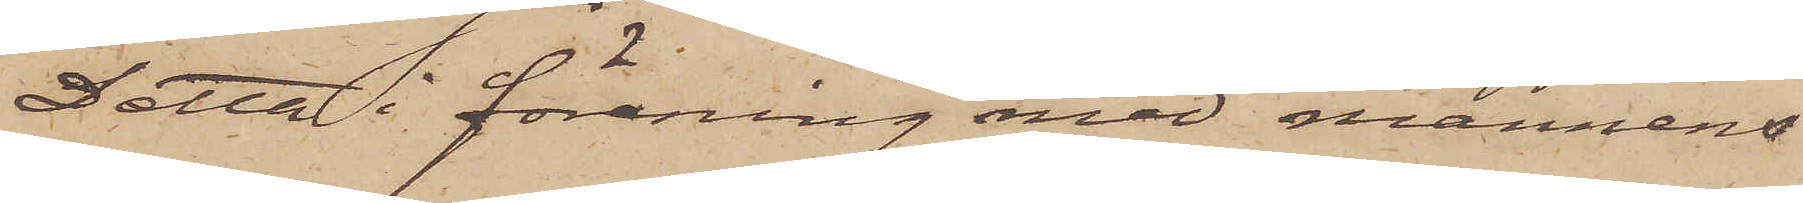Detta i förening med mannens
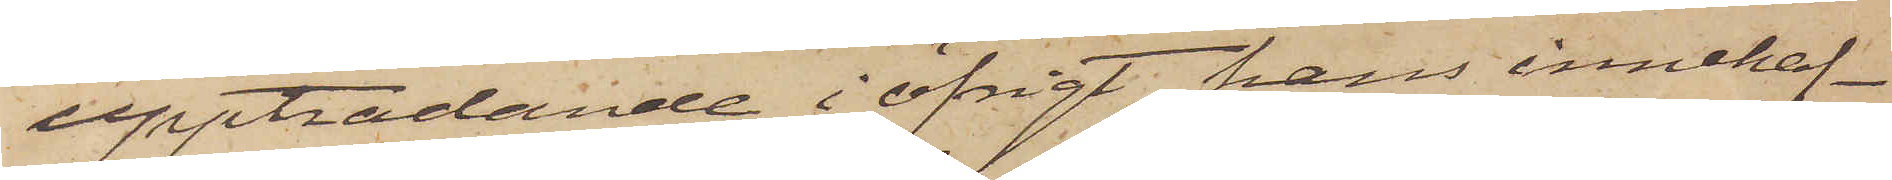uppträdande i öfrigt, hans innehaf¬
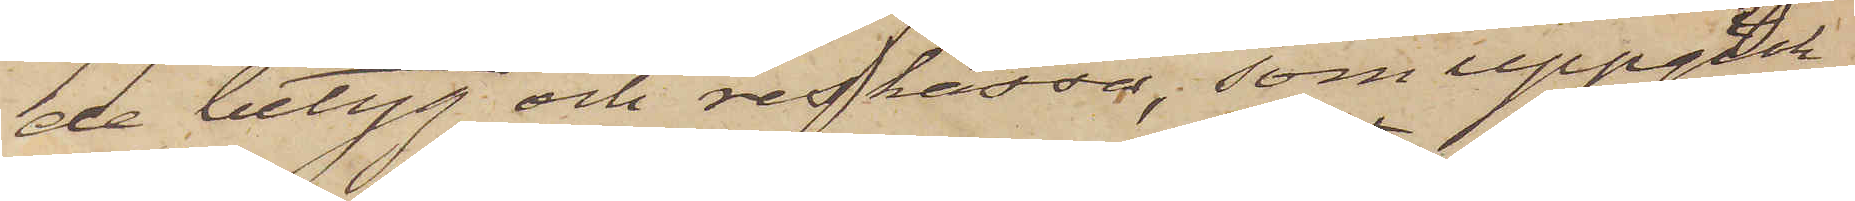de betyg och reskassa, som uppgick
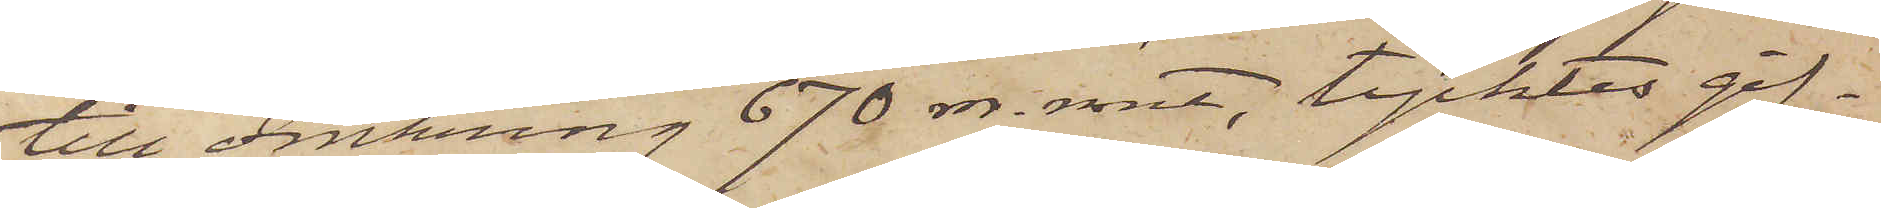till omkring 670 rdr. rmt, tycktes gif¬
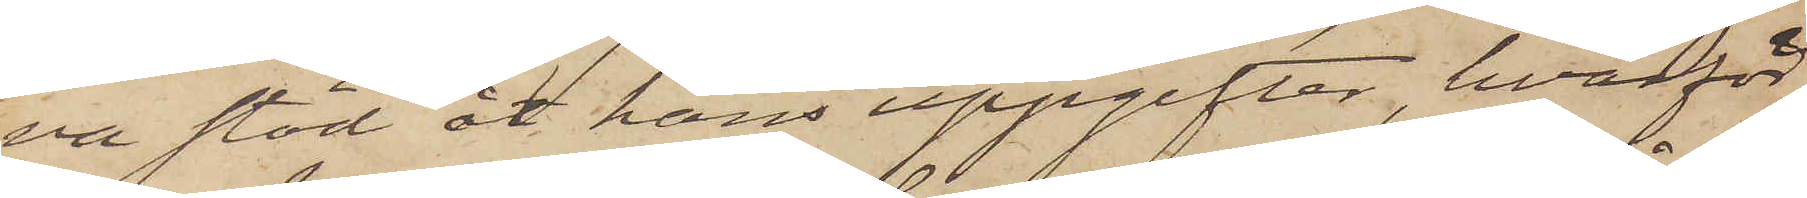va stöd åt hans uppgifter, hvarför
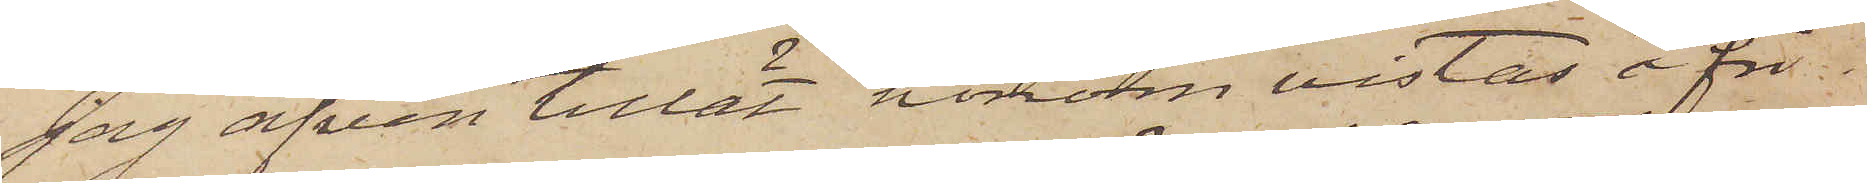jag äfven tillät honom vistas å fri
